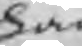han
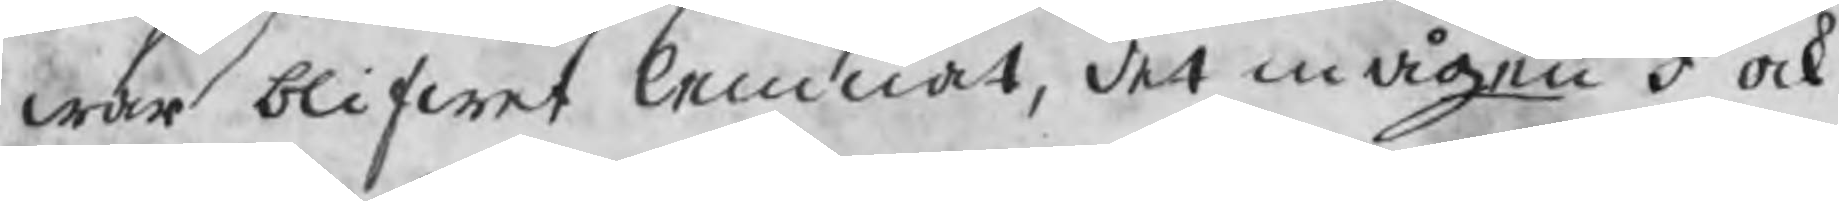war blifwet lemnat, det mågen I ock
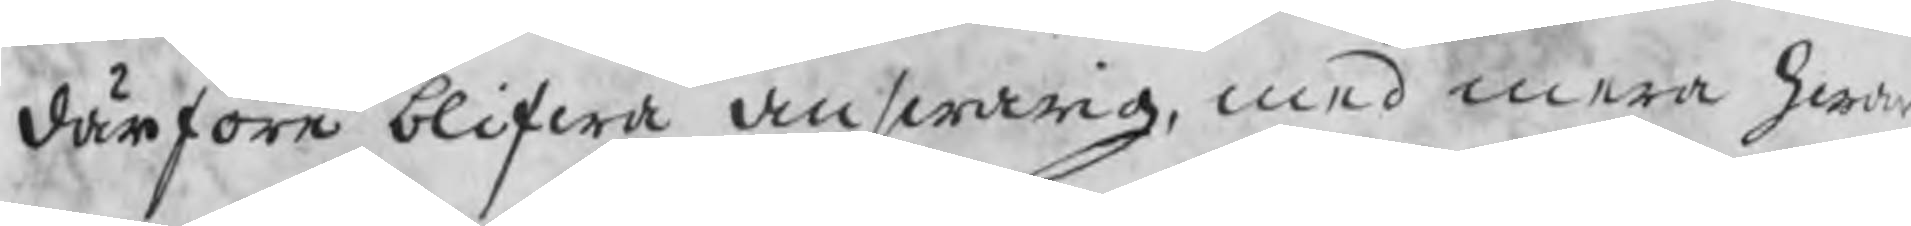hwardärföre blifwa answarig, med mera
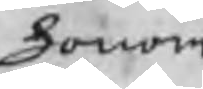honom
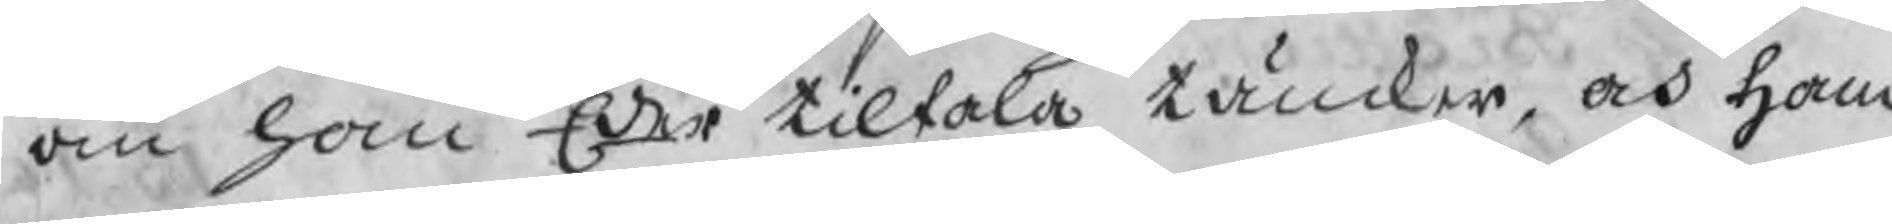om han Eder tiltala tänker, och ham
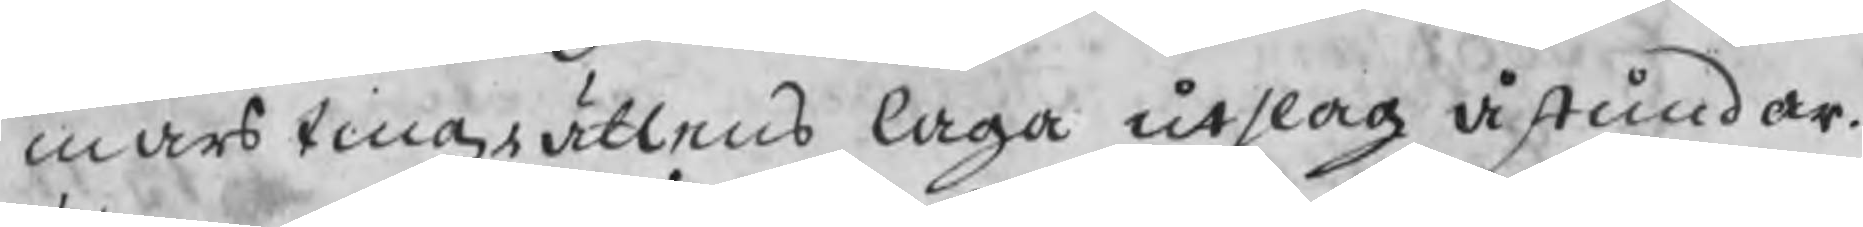mars tingzrättens laga utslag åstundar.
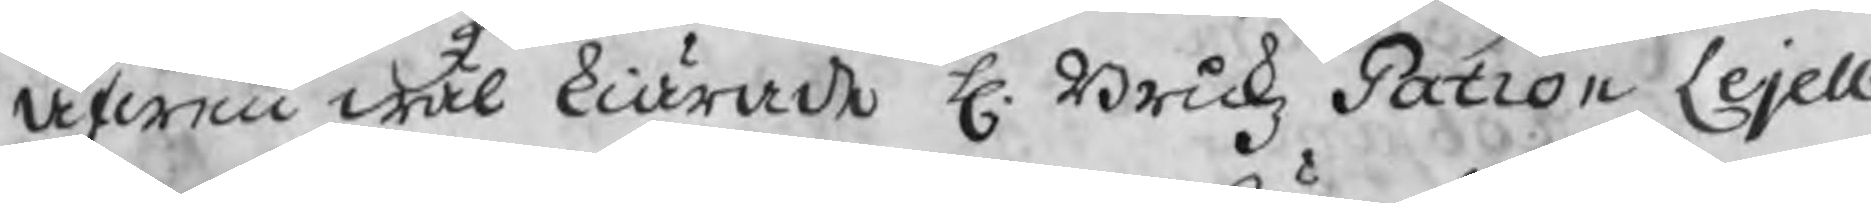Äfwen wäl kiärade H. Brukz Patron Lejell
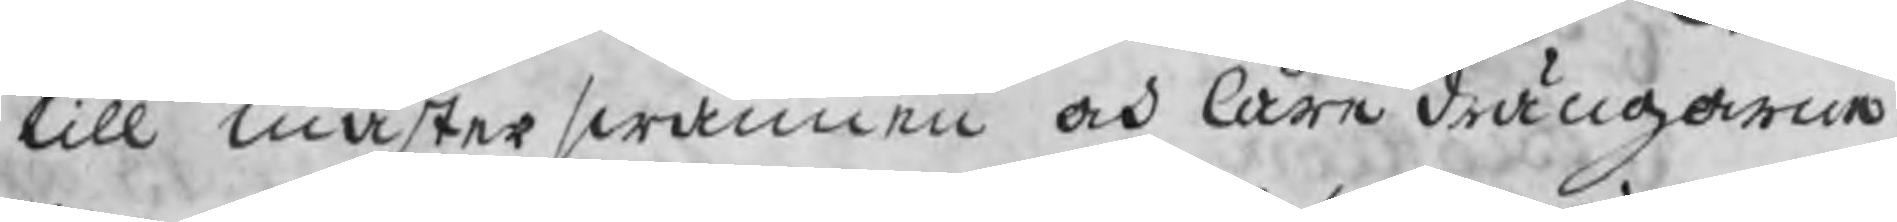till mästerswännen och läre drängarne
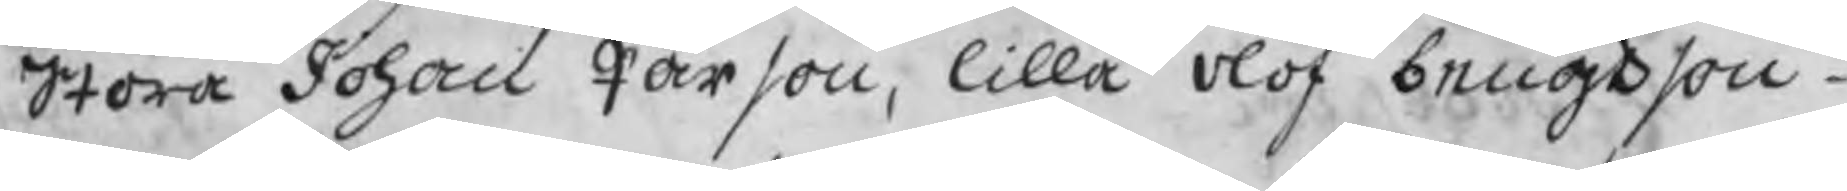Stora Johan Pärson, lilla Olof bengtson
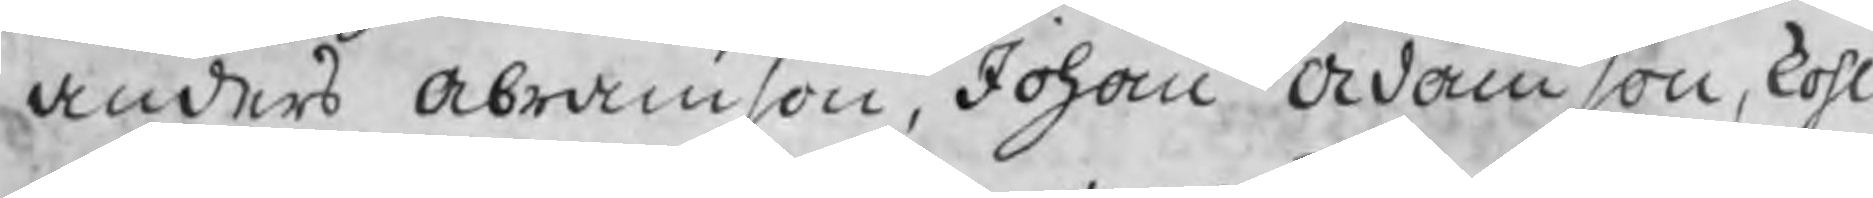Anders Abramson, Johan Adamson, kohl
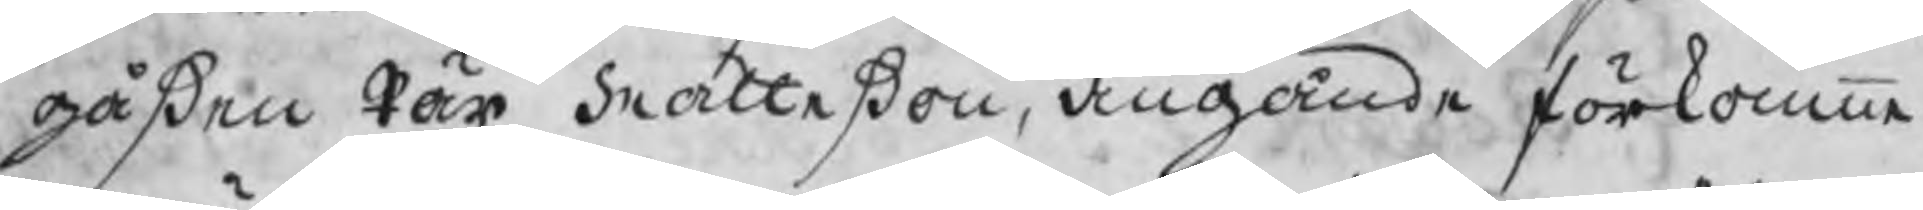gåßen Pär Matteßon, angående förkomne
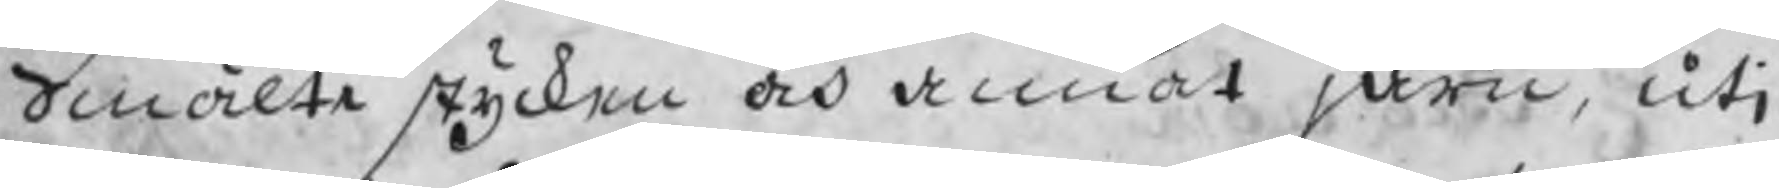Smälte stycken och annat järn, uti
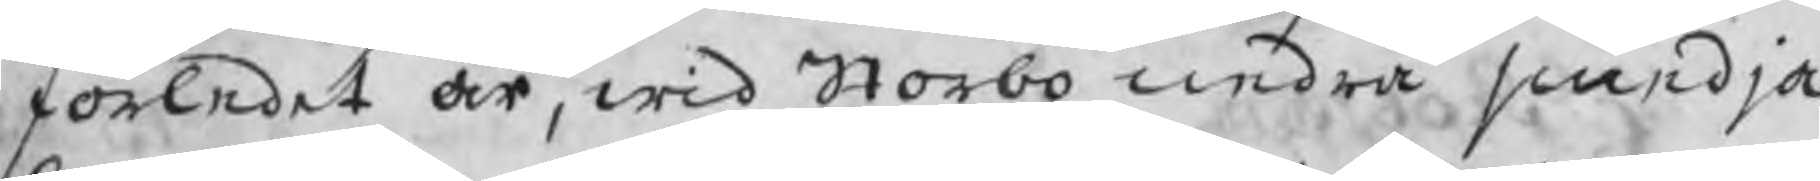förledet år, wid Storbo nedre smedja
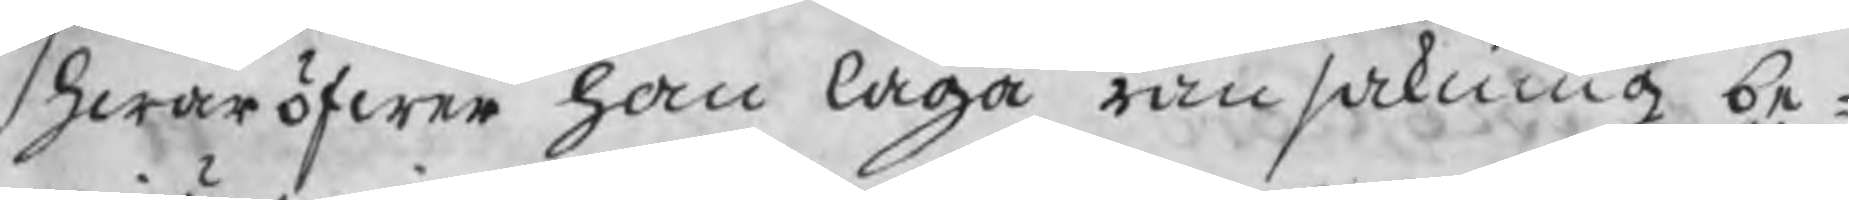hwaröfwer han laga ransakning be¬
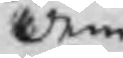dem
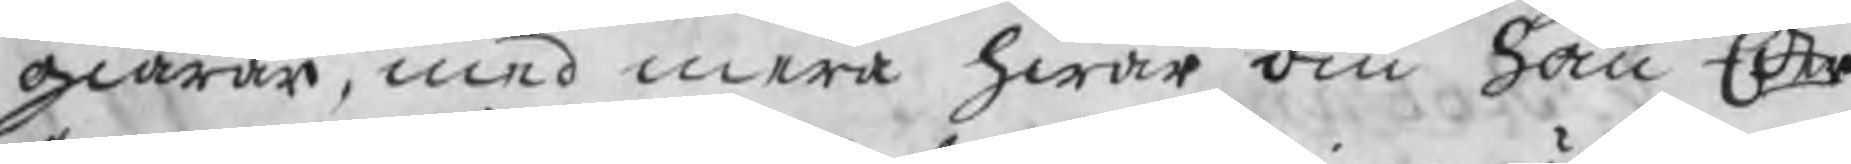giärer, med mera hwar om han Eder
